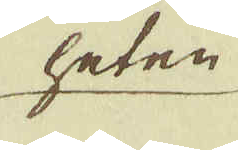heten
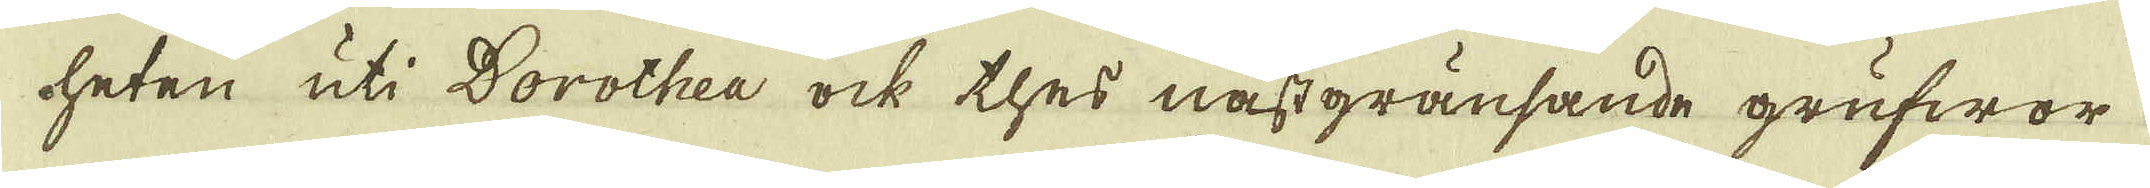heten uti Dorothea ock thes nästgransande grufwor
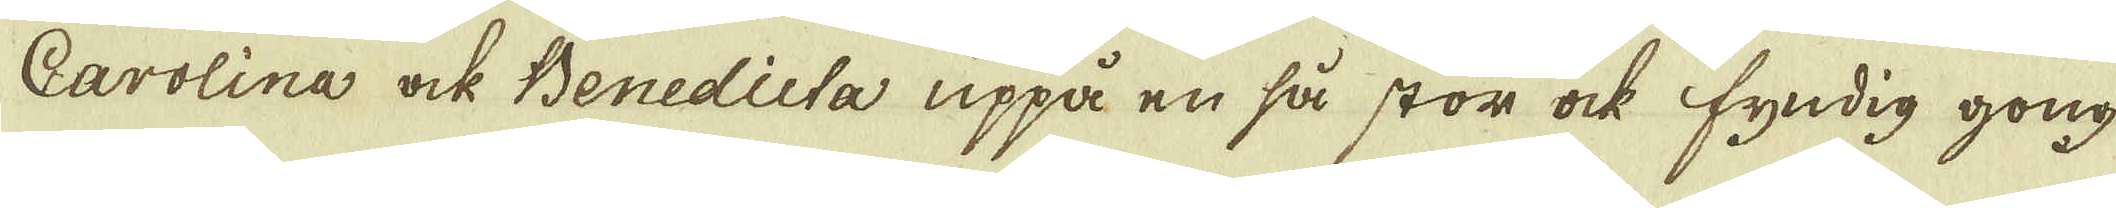Carolina ock Benedieta uppå en så stor ock fyndig gong
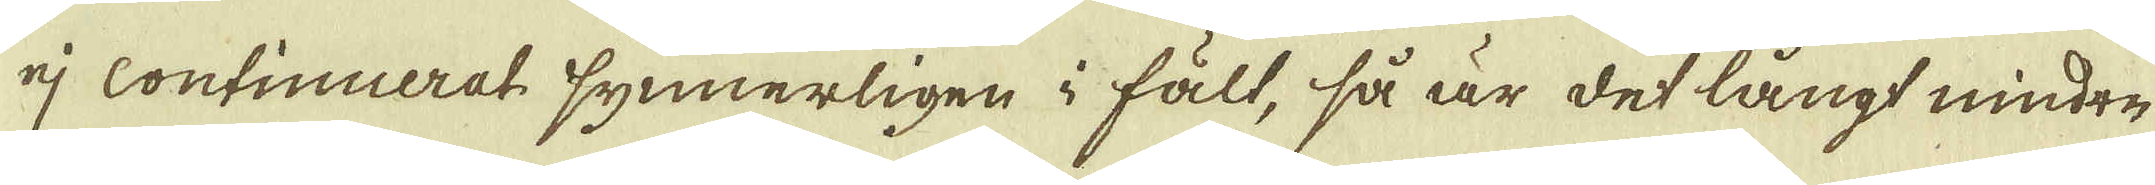ej continuerat synnerligen i fält, så är det långt mindre
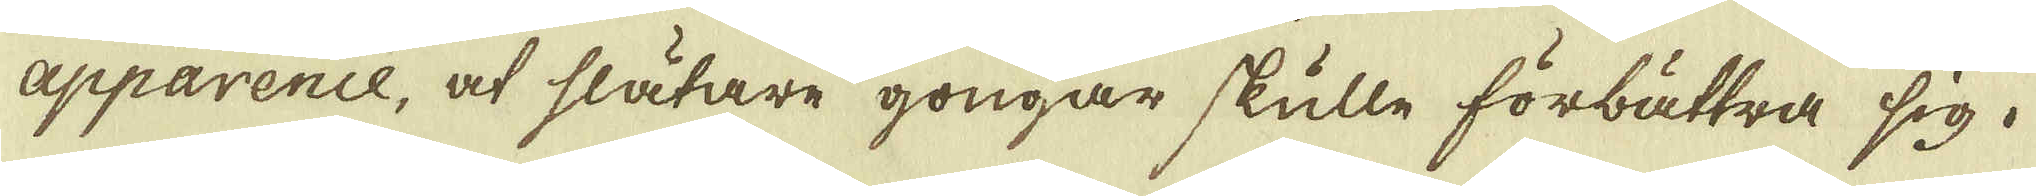apparence, at slätare gongar skulle förbättra sig.
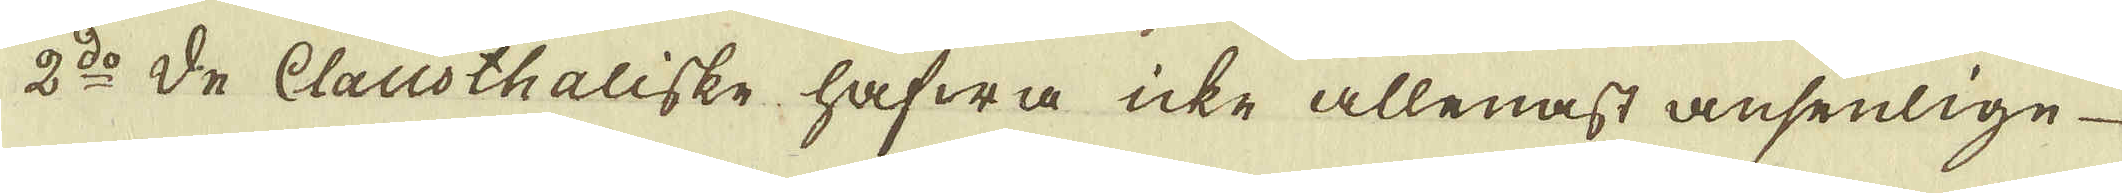2:do De Clausthaliske hafwa icke allenast ansenlige
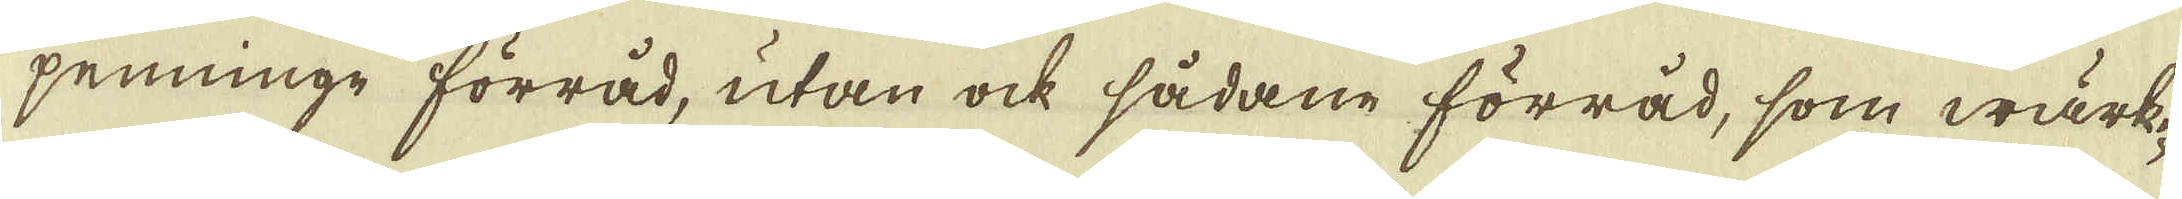penninge förråd, utan ock sådane förråd, som wärk-
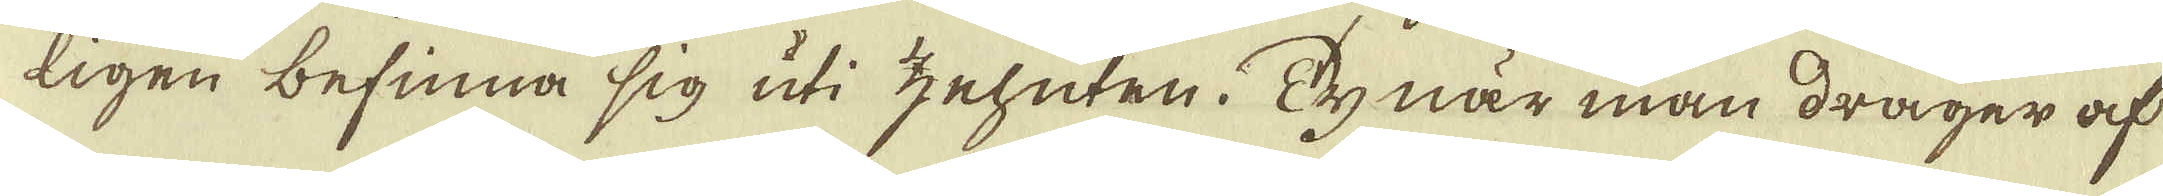ligen befinna sig uti zehnten. Ty när man drager af
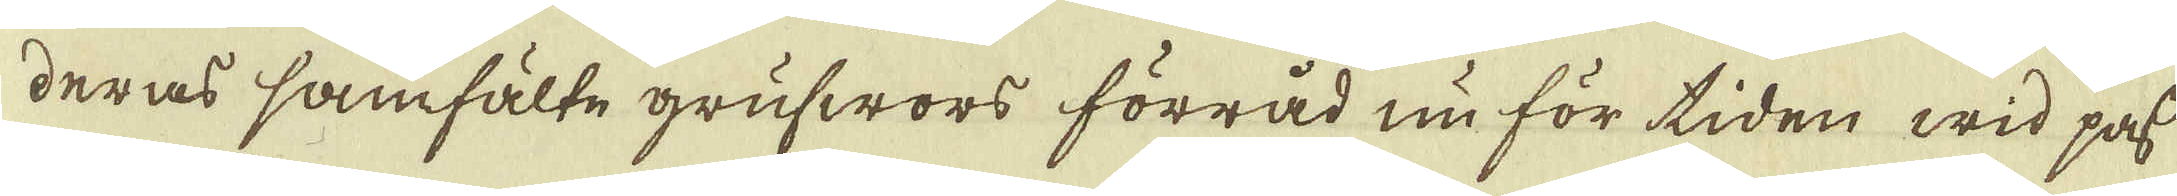deras samfälte grufwors förråd nu för tiden wid pass
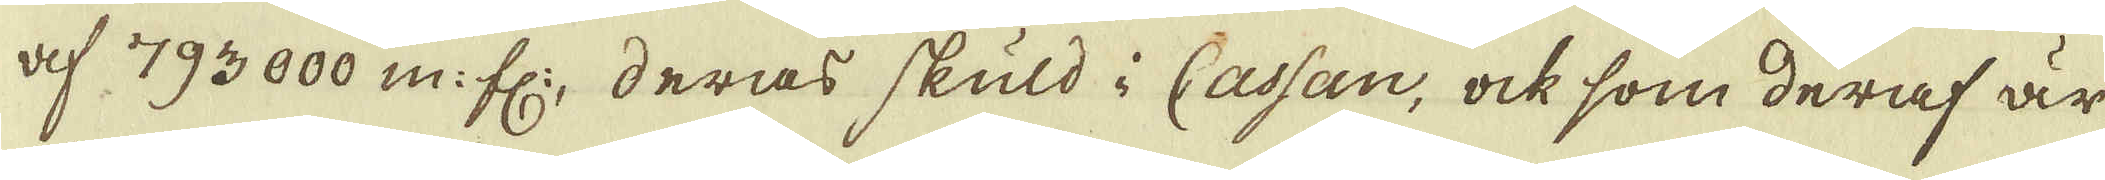af 793000 m: fl:, deras skuld i Cassan, ock som deraf är
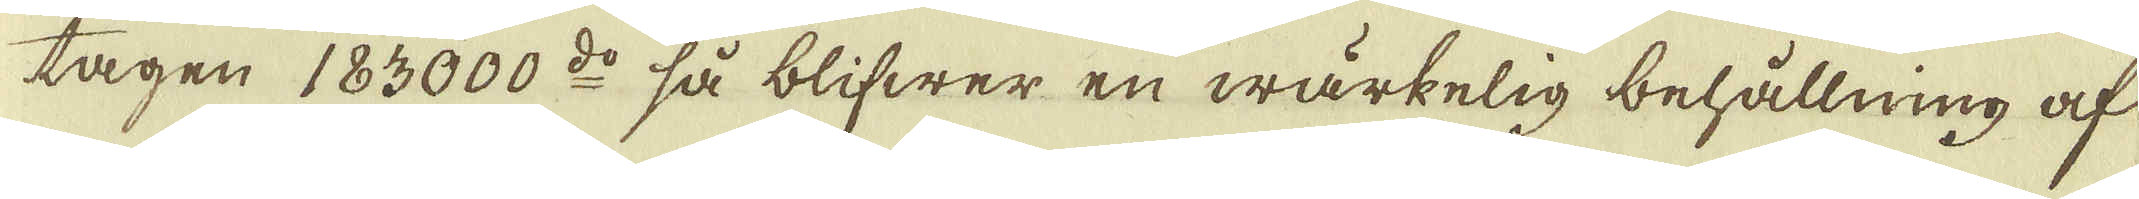tagen 183000 d:o så blifwer en wärkelig behållning af
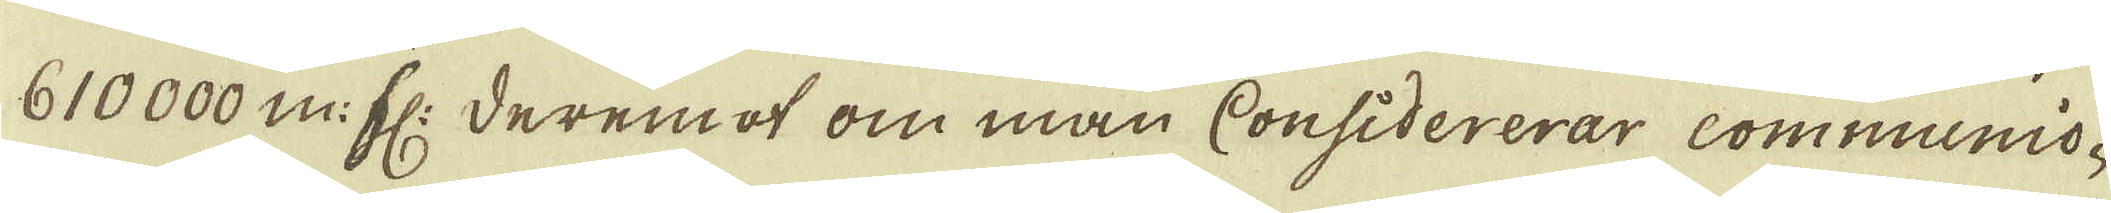610000 m: fl: deremot om man Considererar communio-
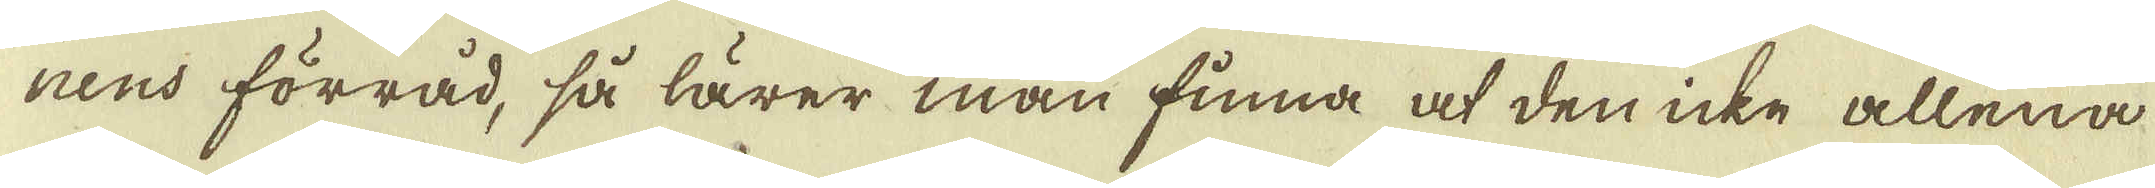nens förråd, så lärer man finna at den icke allena
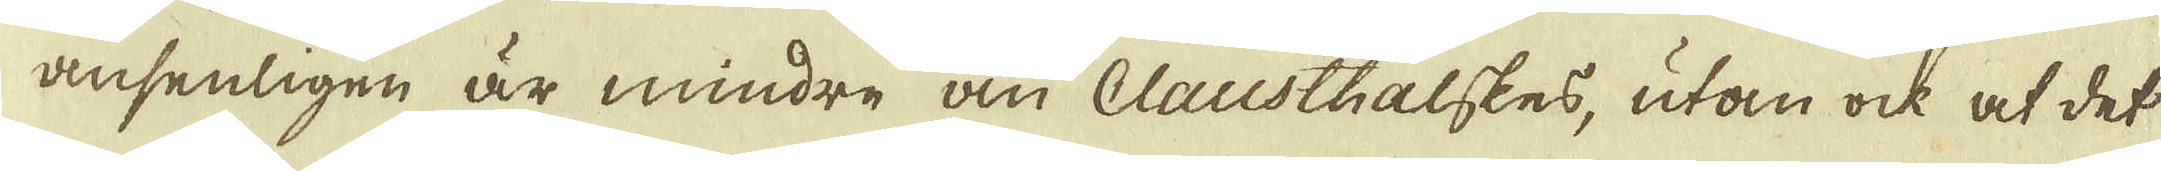ansenligen är mindre än Clausthalskes, utan ock at det
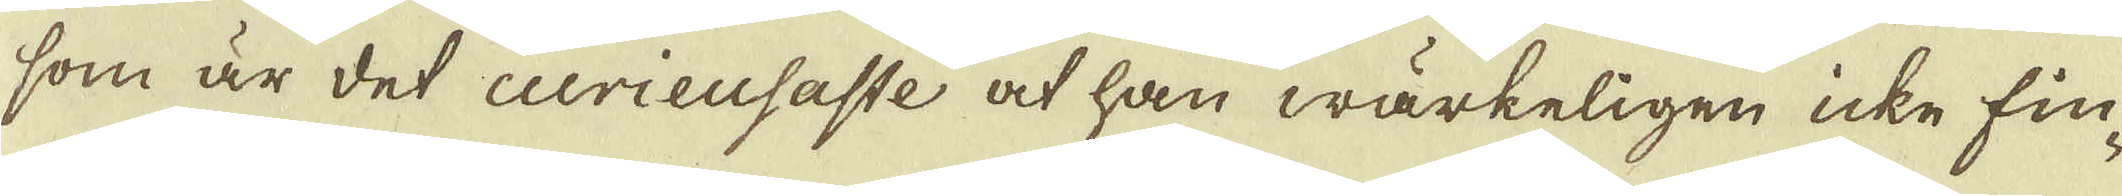som är det curieusaste at han wärkeligen icke fin-
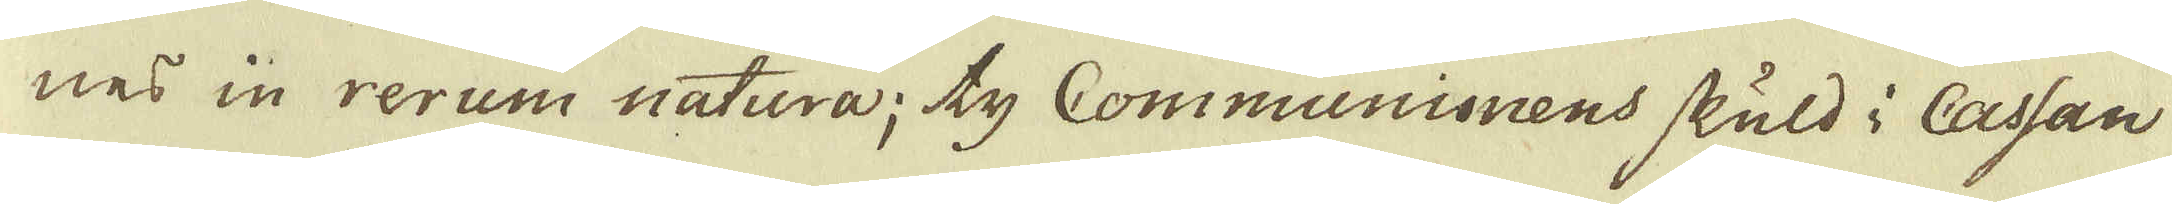nes in rerum natura; ty Communionens skuld i Cassan
